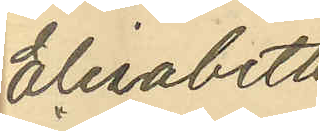Elisabeth
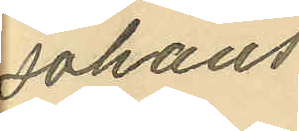Johans¬
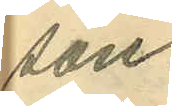son.
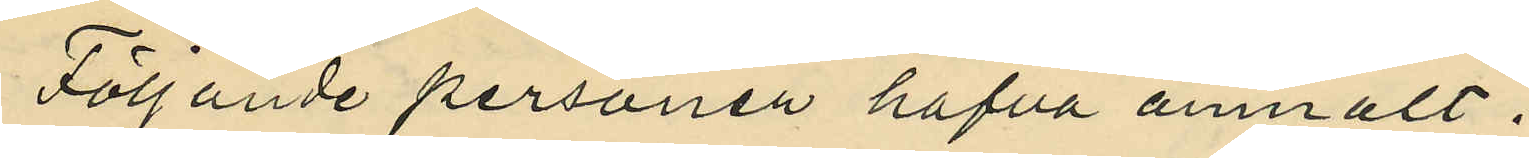Följande personer hafva anmält:
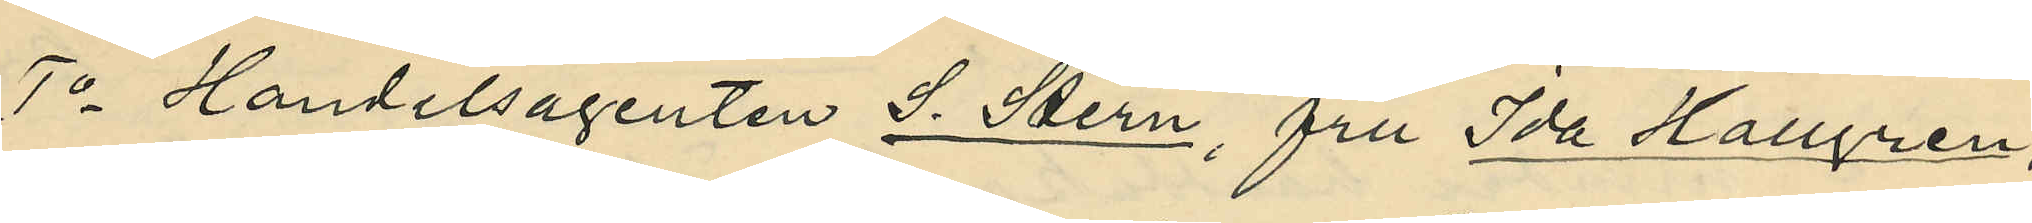1o Handelsagenten S. Stern, fru Ida Hallgren,
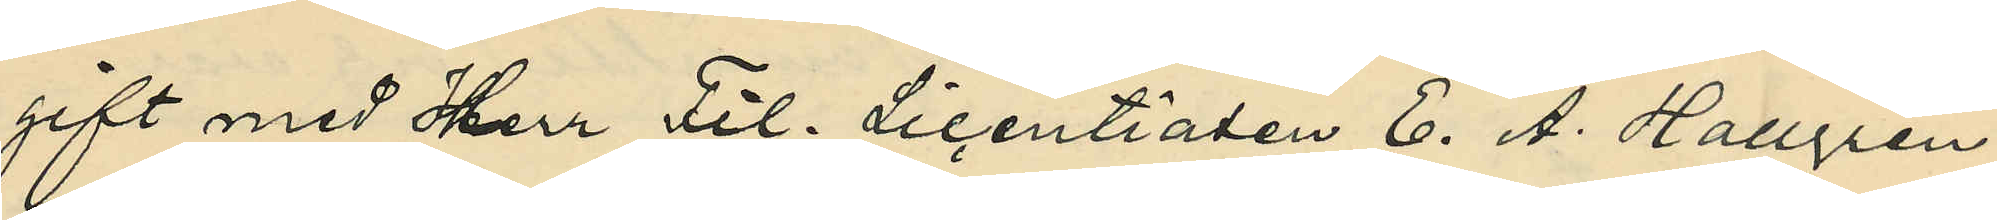gift med Herr Fil. Licentiaten E. A. Hallgren,
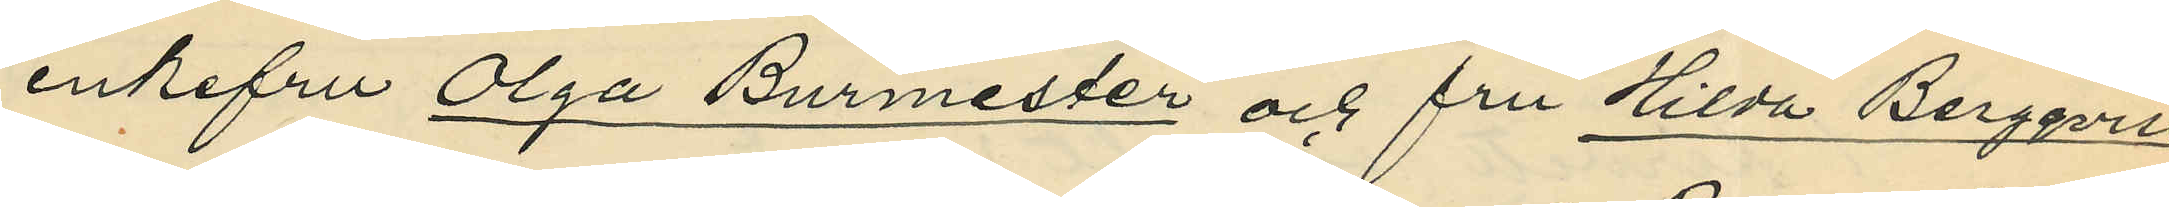enkefru Olga Burmester och fru Hilda Bergqvist,
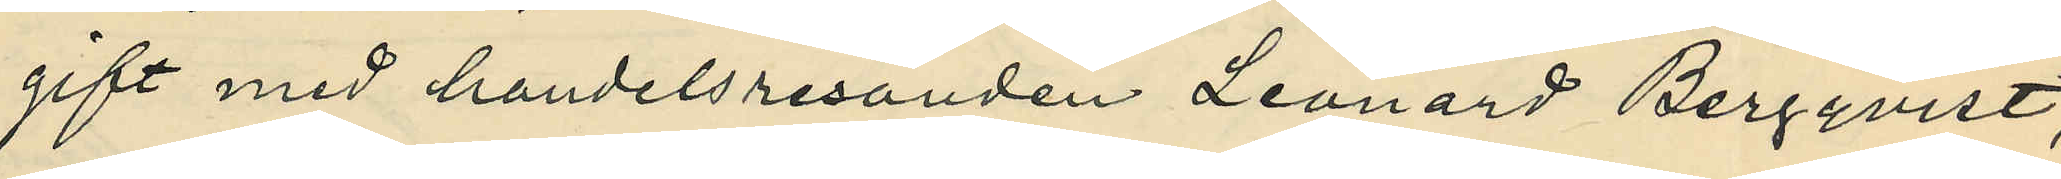gift med handelsresanden Leonard Bergqvist,
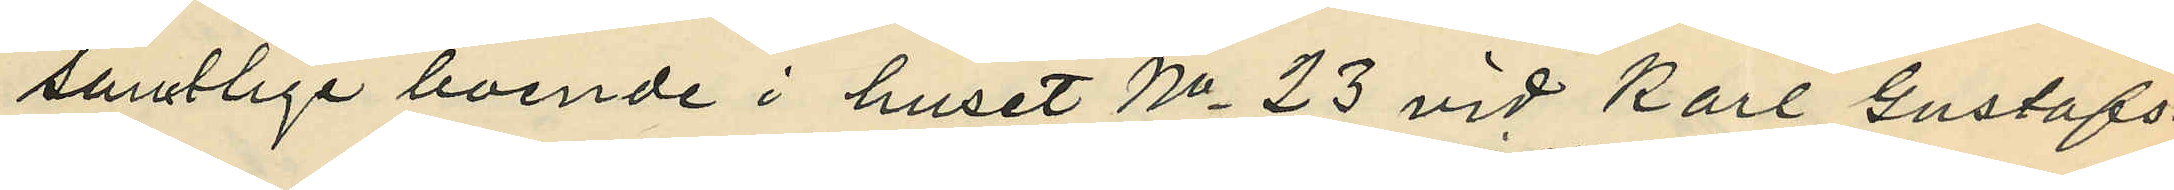samtliga boende i huset No 23 vid Karl Gustafs¬
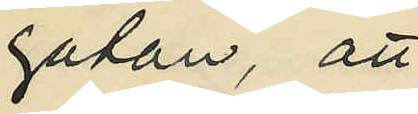gatan, att
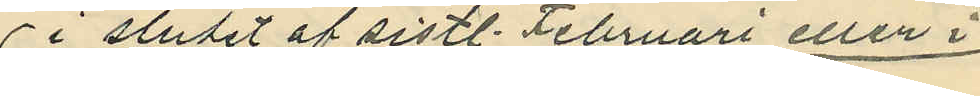i slutet af sistl. Februari eller i
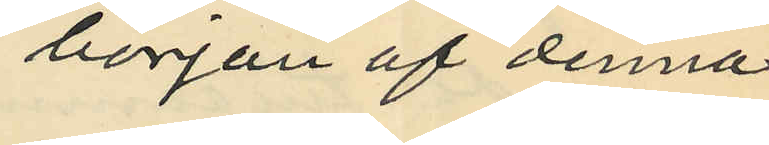början af denna
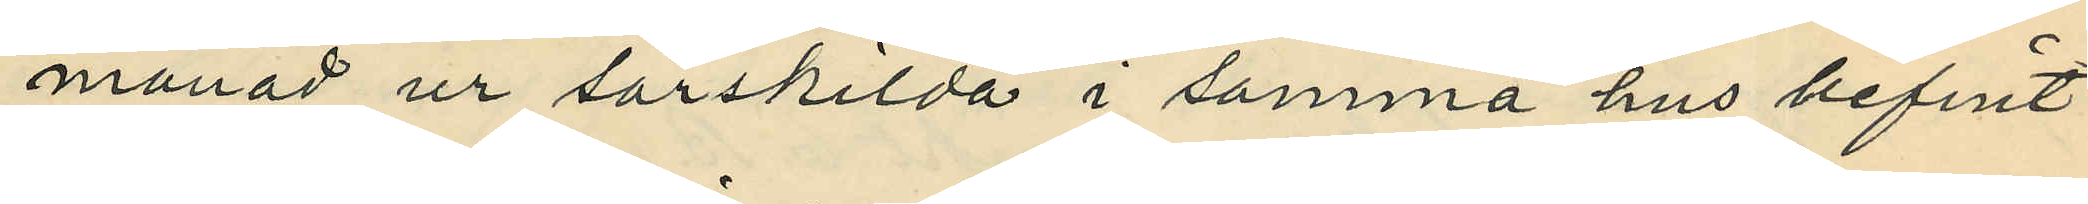månad ur särskilda i samma hus befint¬
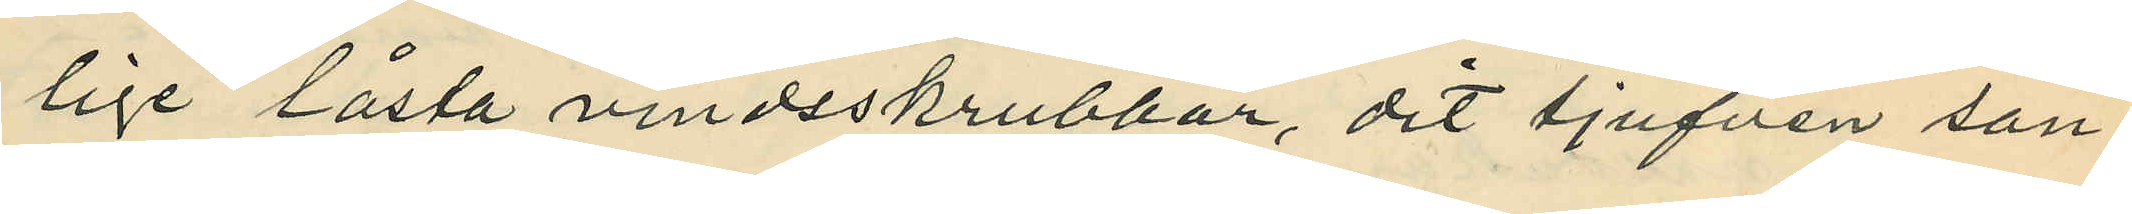lige låsta vindsskrubbar, dit tjufven san¬
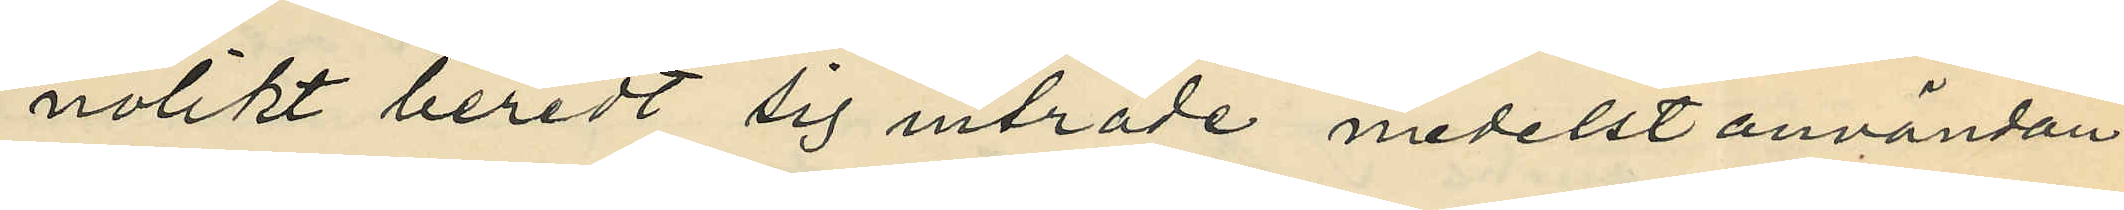nolikt beredt sig inträde medelst användan¬
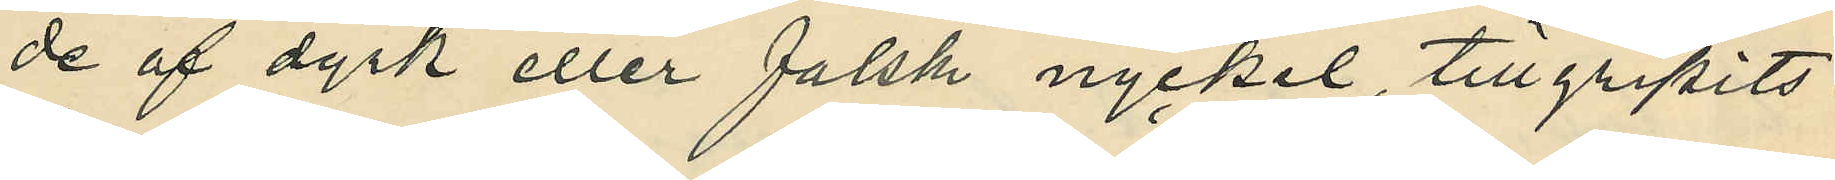de af dyrk eller falsk nyckel, tillgripits:
